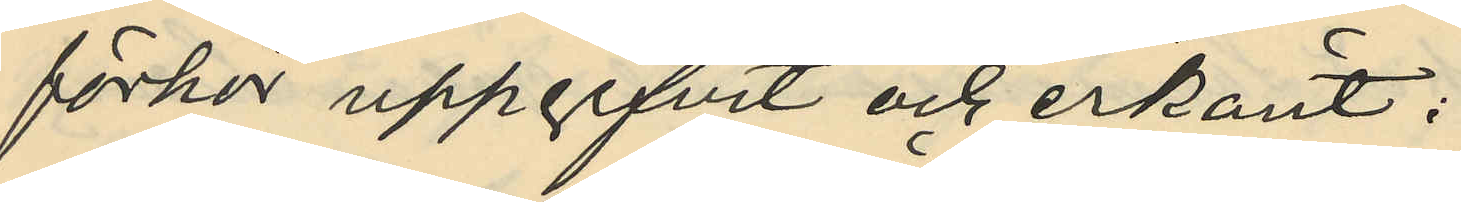förhör uppgifvit och erkänt:
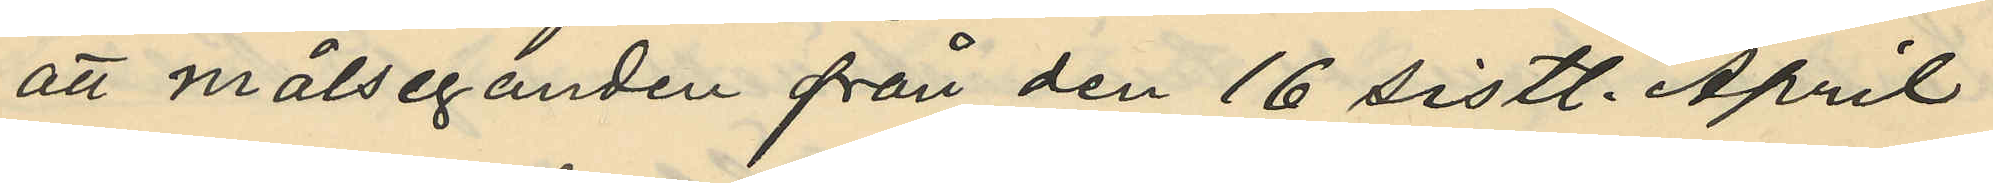att målseganden från den 16 sistl. April
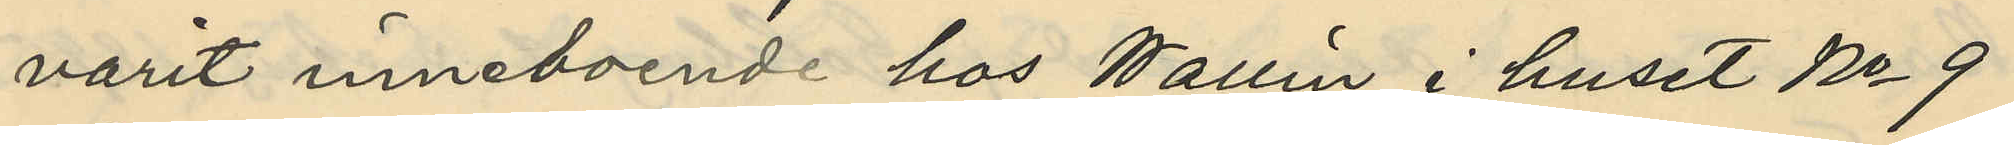varit inneboende hos Wallin i huset No 9
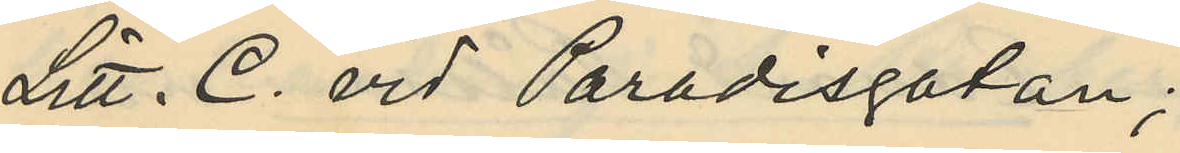Litt. C. vid Paradisgatan;
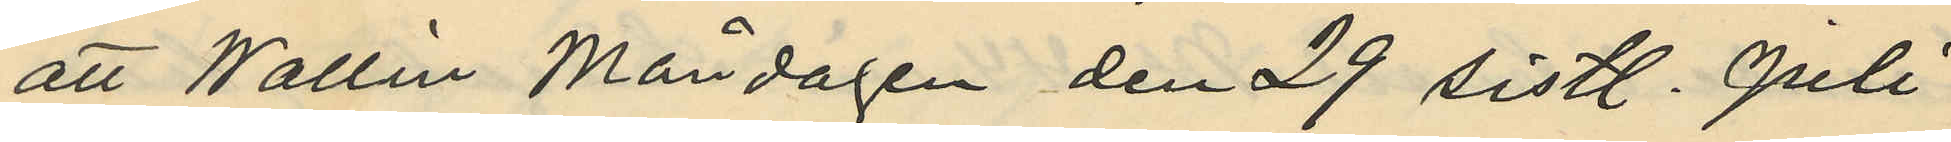att Wallin Måndagen den 29 sistl. Juli
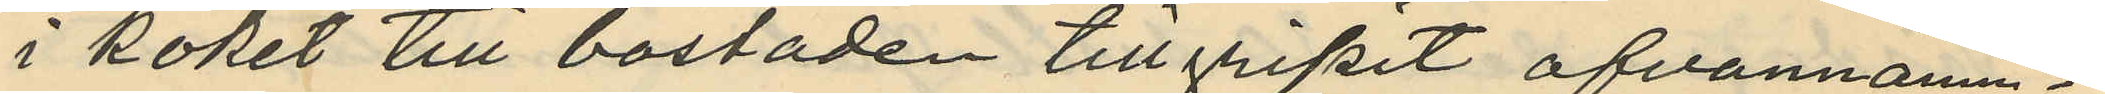i köket till bostaden tillgripit ofvannämn¬
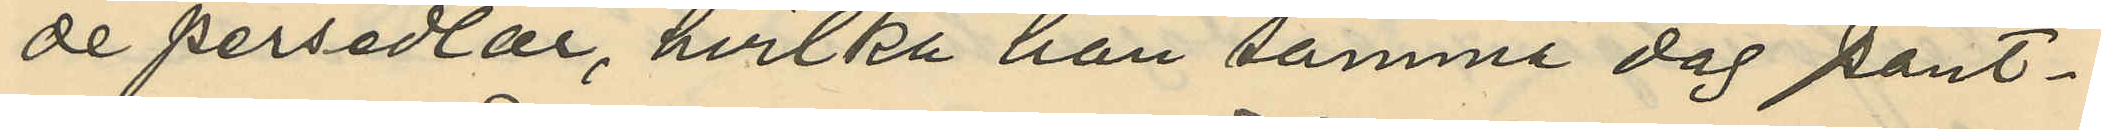de persedlar, hvilka han samme dag pant¬
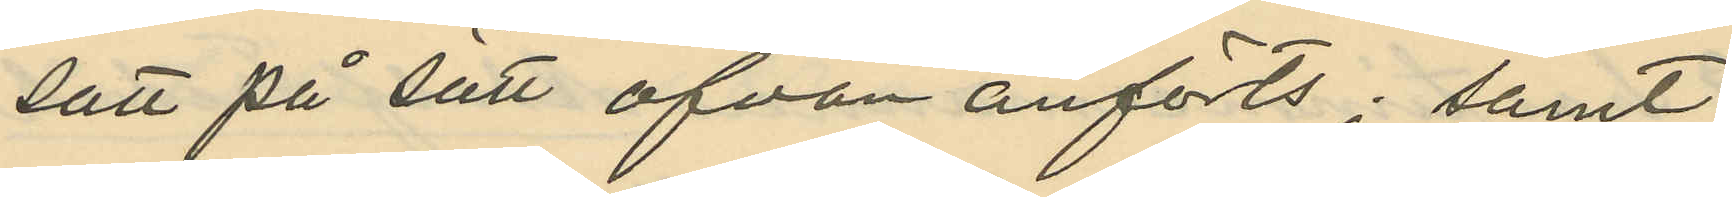satt på sätt ofvan anförts; samt
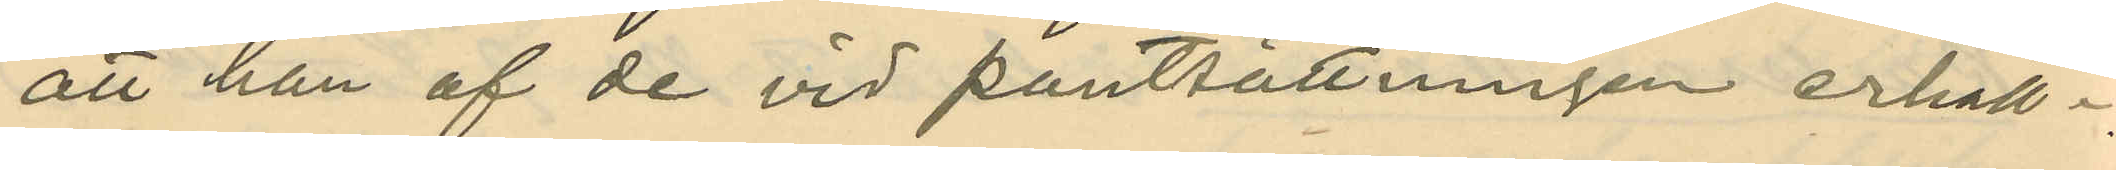att han af de vid pantsättningen erhåll¬
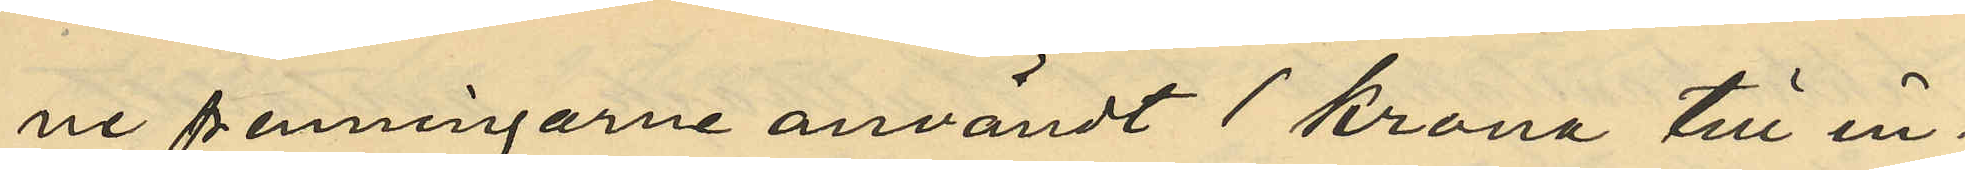ne penningarne användt 1 krona till in¬
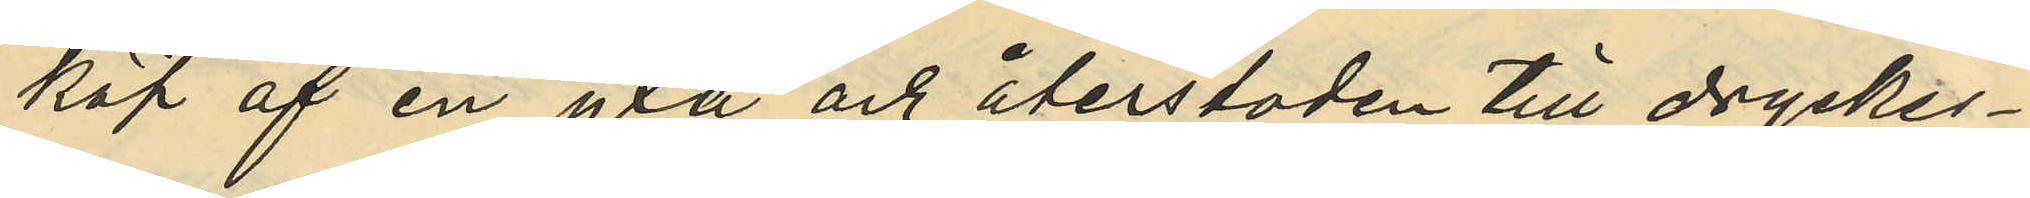köp af en yxa och återstoden till dryckes¬
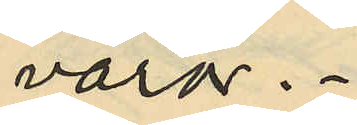varor.
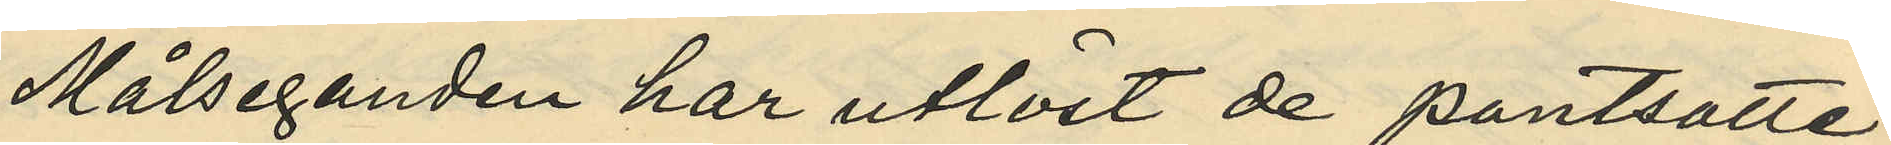Målseganden har utlöst de pantsatte
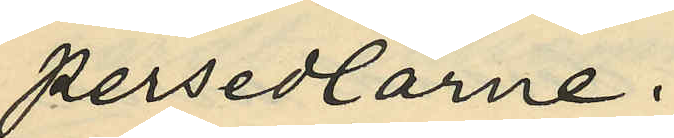persedlarne.
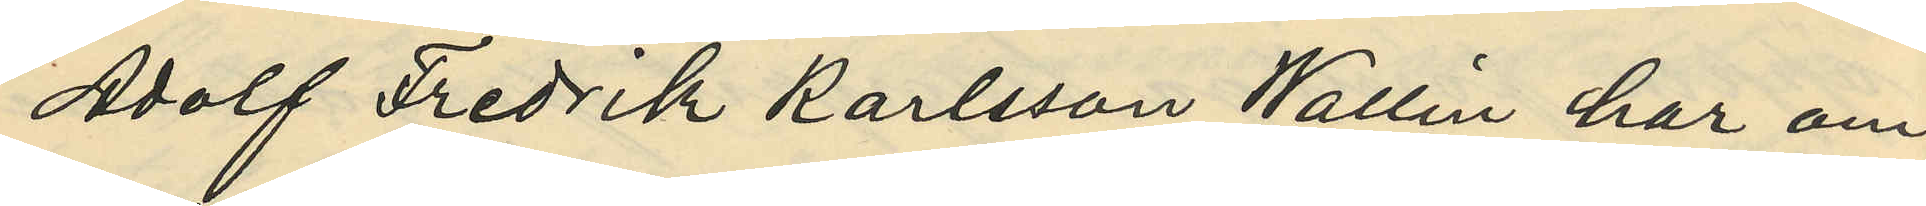Adolf Fredrik Karlsson Wallin har om
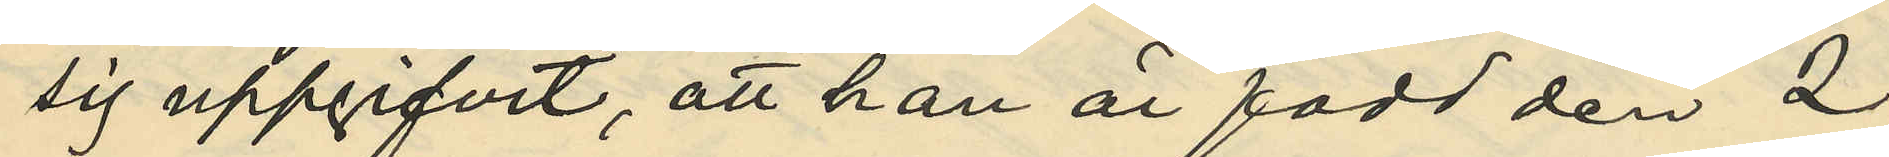sig uppgifvit, att han är född den 2
